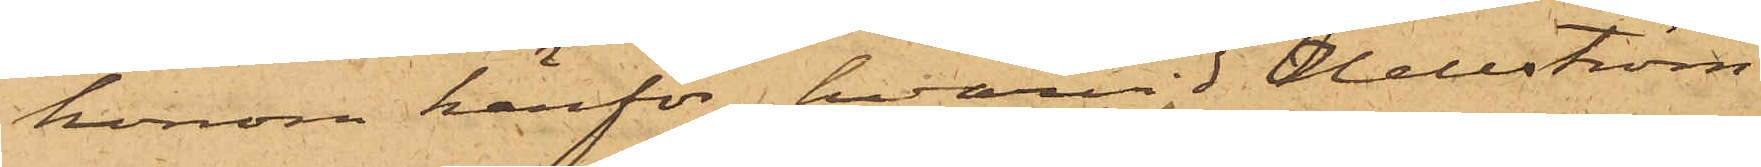honom härför, hvarvid Hellström
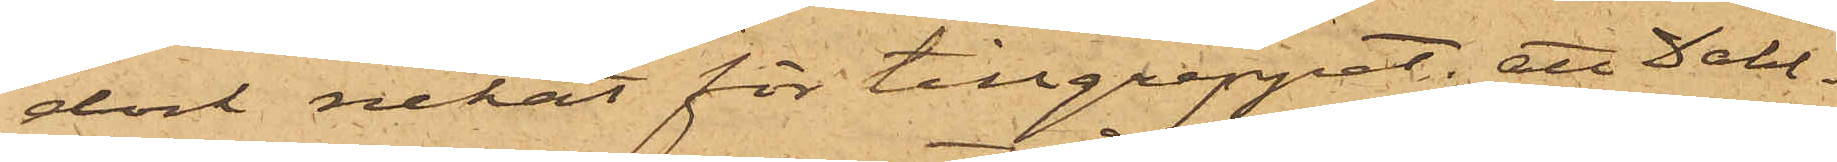dock nekat för tillgreppet; att Dahl¬
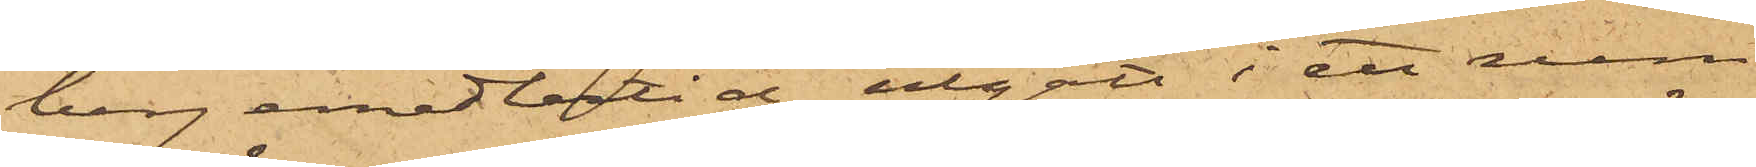berg emedlertid utgått i ett rum
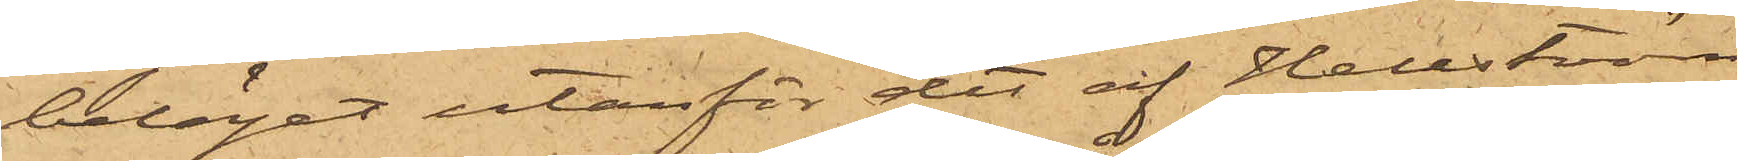beläget utanför det af Hellström
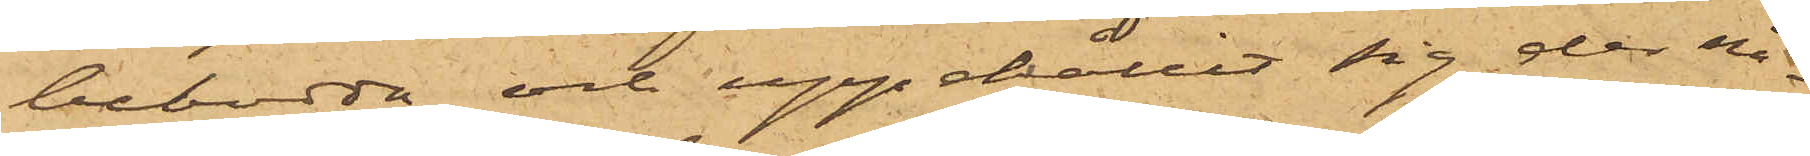bebodda och uppehållit sig der nå¬
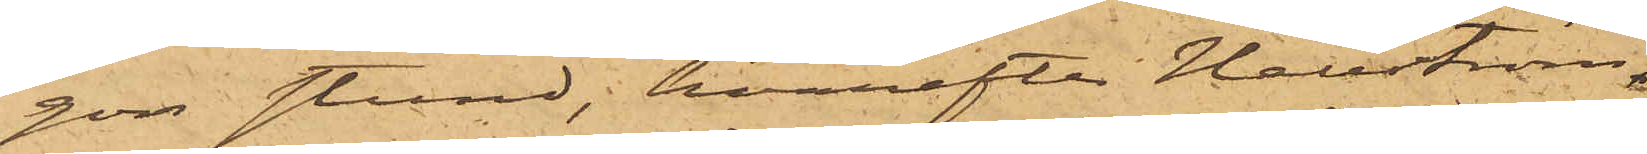gon stund, hvarefter Hellström
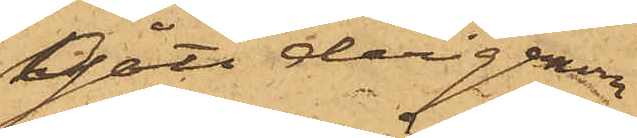gått derigenom
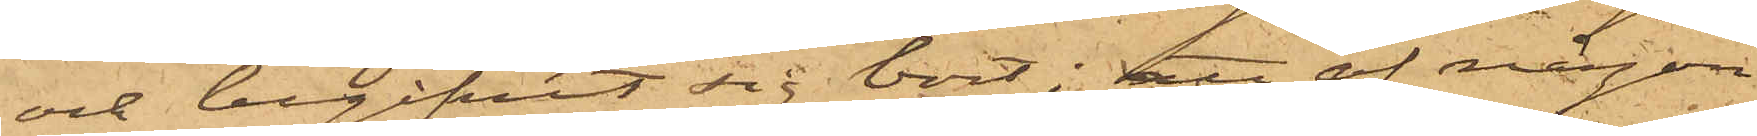och begifvit sig bort; att af någon
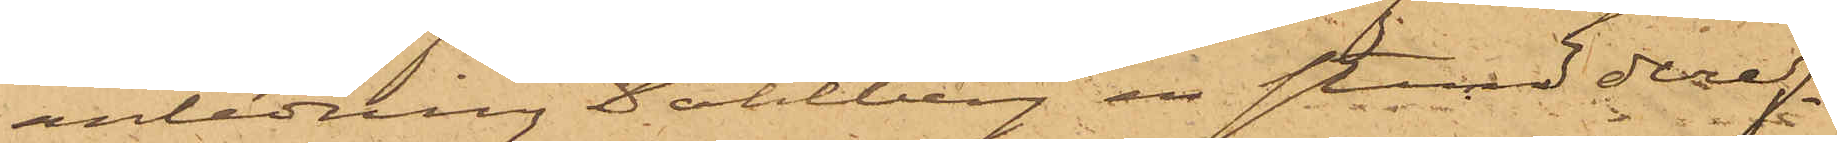anledning Dahlberg en stund deref¬
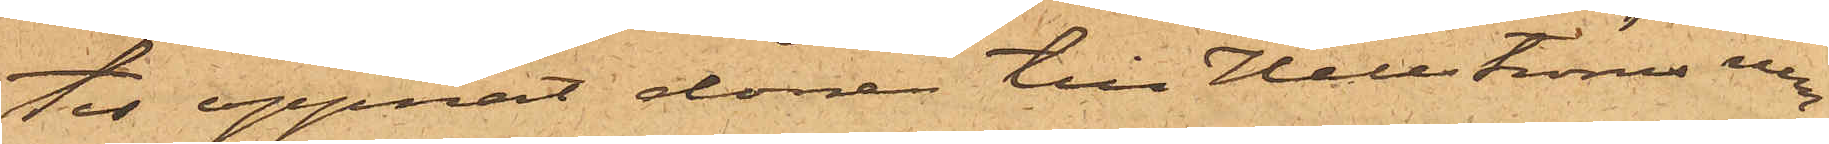ter öppnat dörren till Hellströms rum,
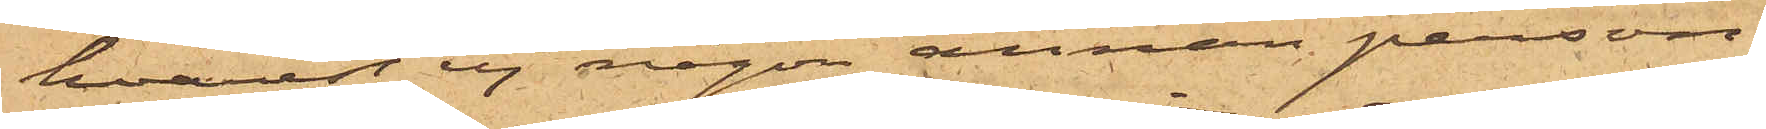hvarest ej någon annan person
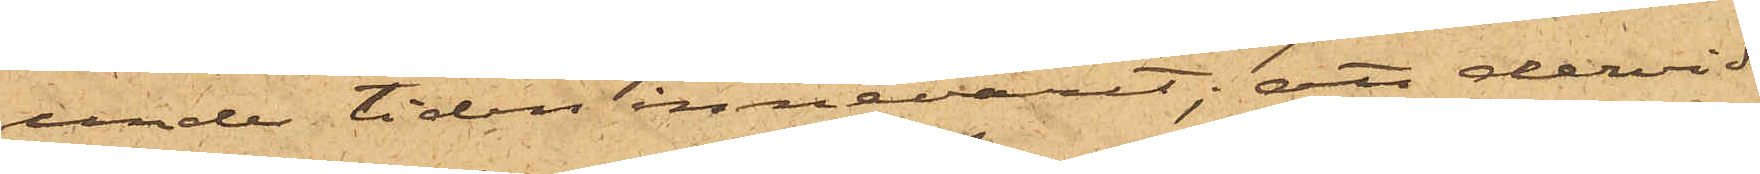under tiden innevarit; att dervid
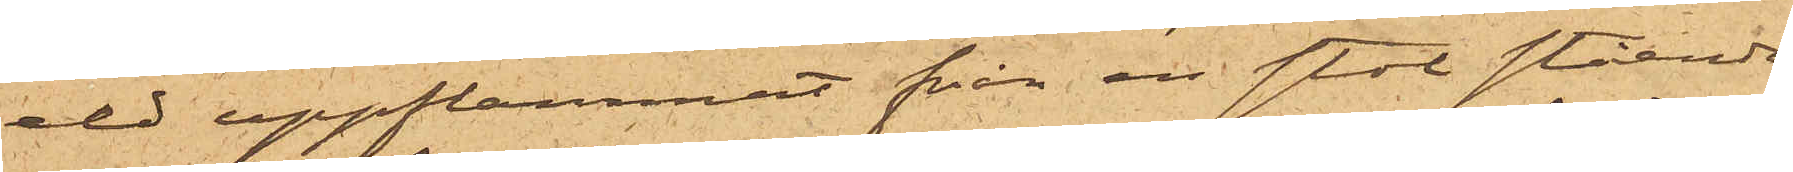eld uppflammnat från en stol stående
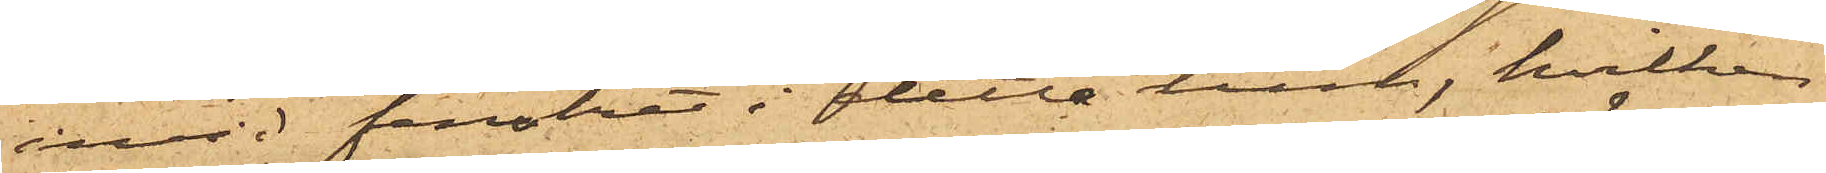invid fönstret i detta rum, hvilken
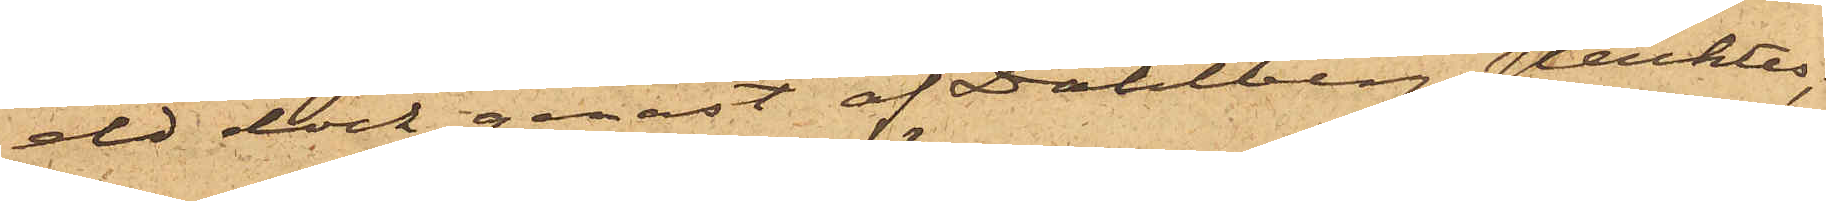eld dock genast af Dahlberg släcktes,
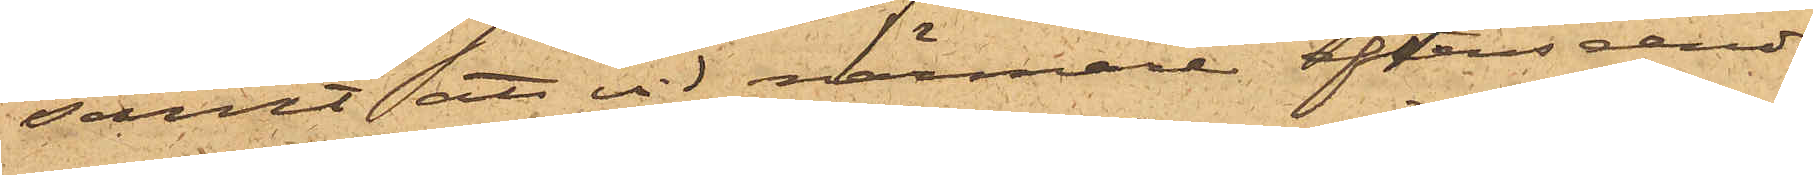samt att vid närmare efterseende
